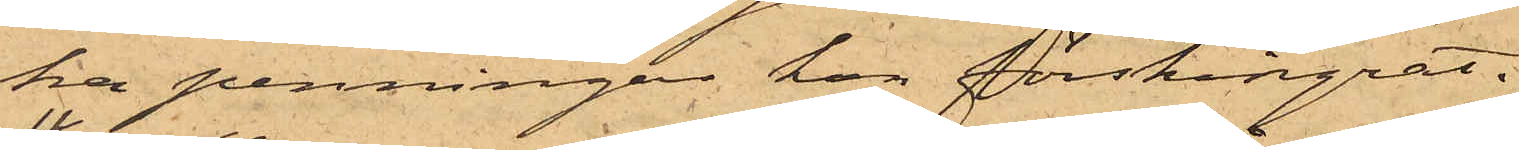ka penningar hon förskingrat.
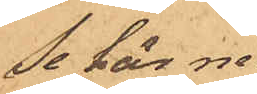Se här ne¬
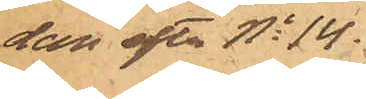dan efter No 14.
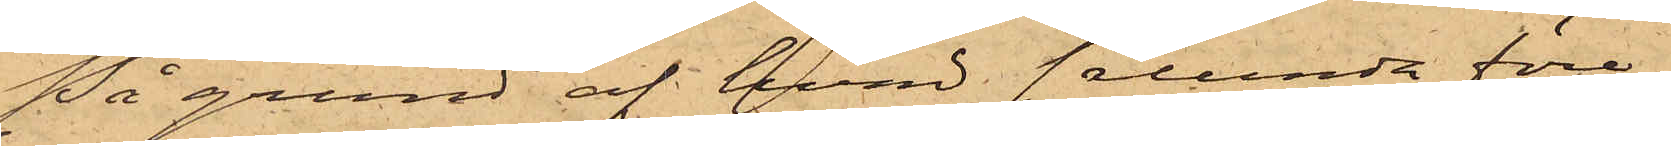På grund af hvad sålunda före¬
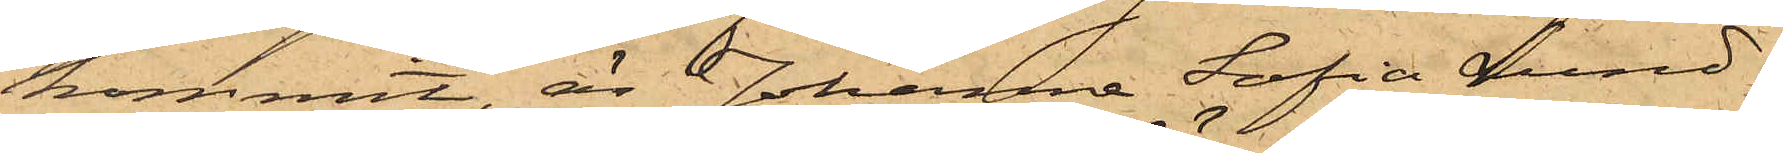kommit, är Johanna Sofia Lund¬
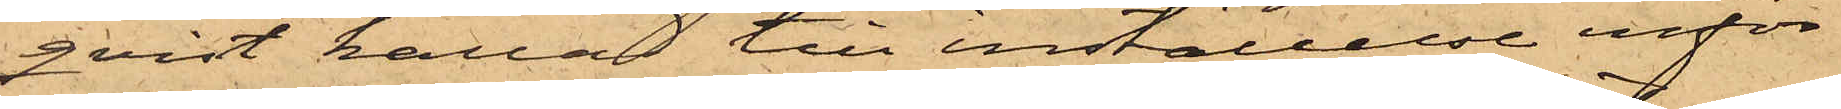qvist kallad till inställelse inför
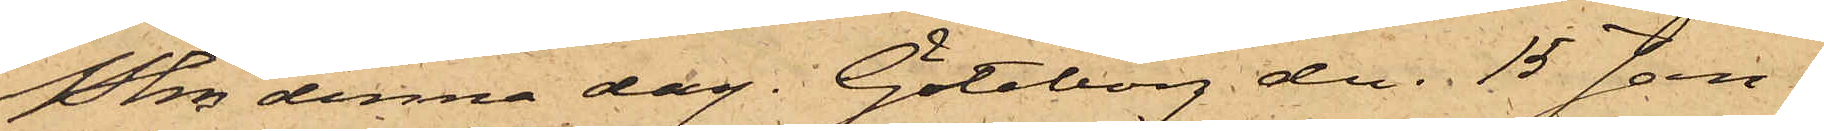Pkn denna dag. Göteborg den 15 Jan.
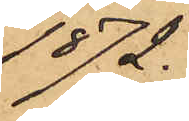1872.
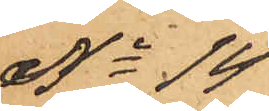No 14
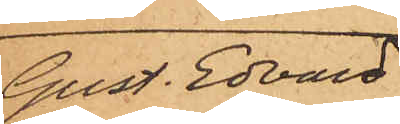Gust. Edvard
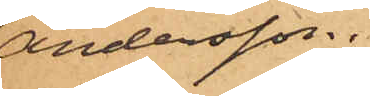Andersson.
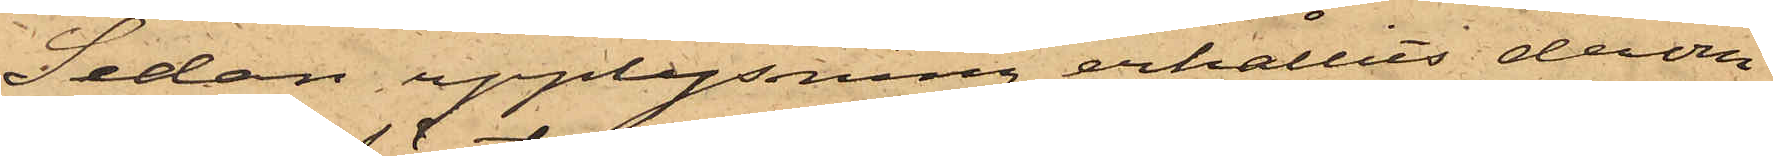Sedan upplysning erhållits derom
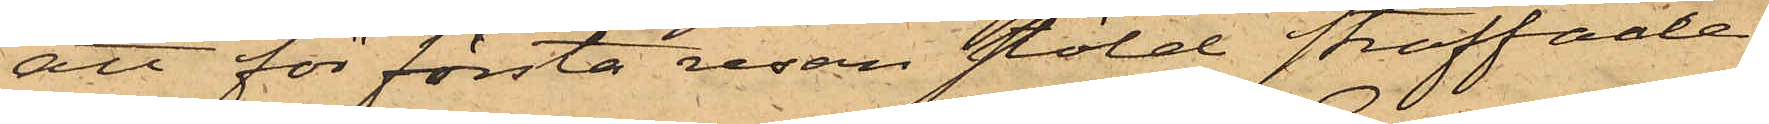att för första resan stöld straffade
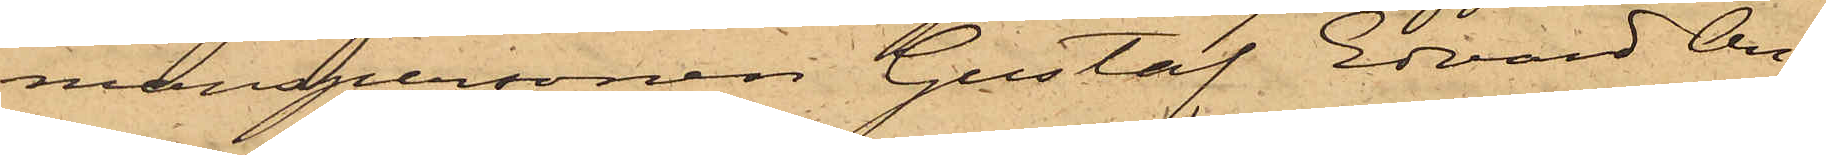manspersonen Gustaf Edvard An¬
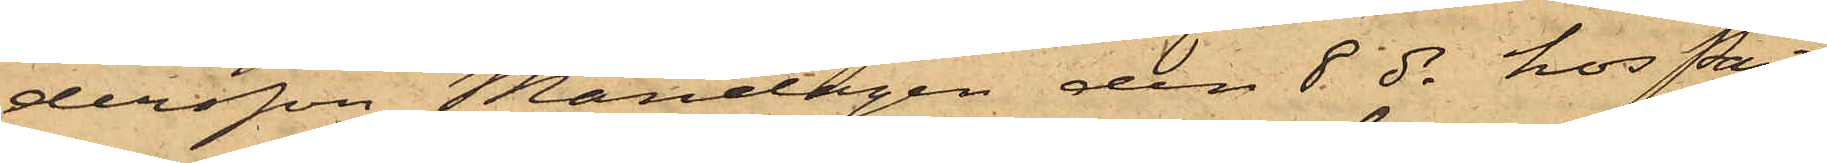dersson Måndagen den 8 ds hos Pant¬
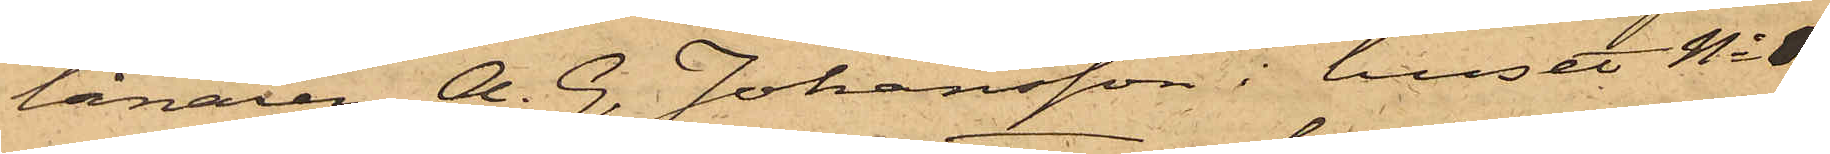lånaren A. G. Johansson i huset No 1
